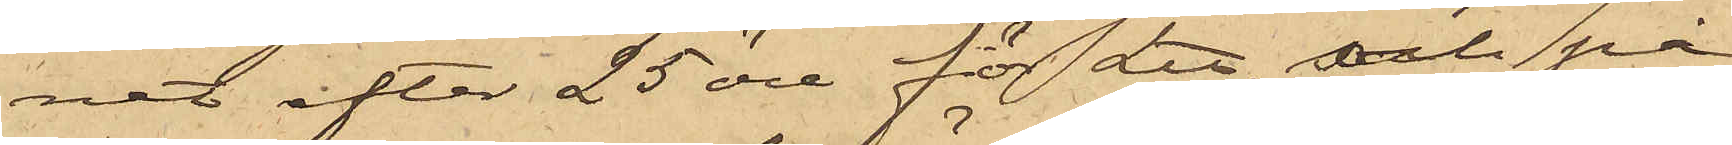net efter 25 öre för L℔. och på
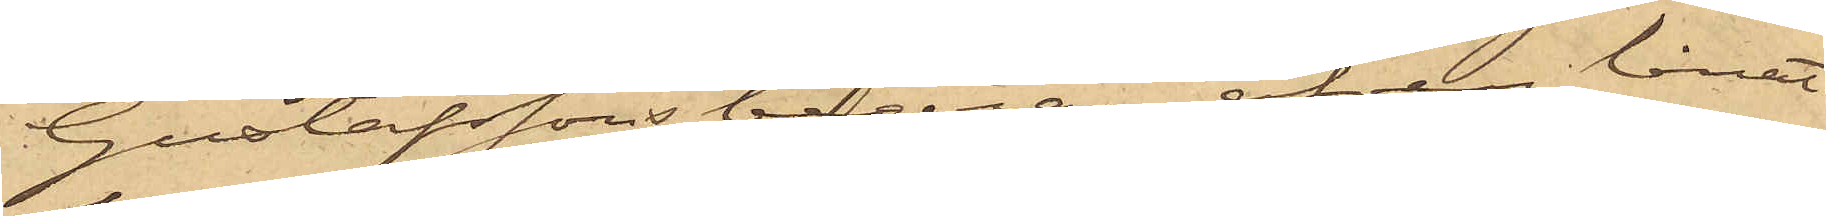Gustafssons begäran äfven lånat
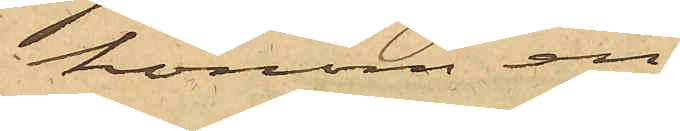honom en
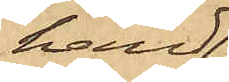hand¬
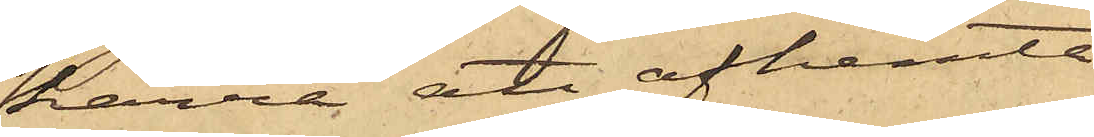kärra att afhemta
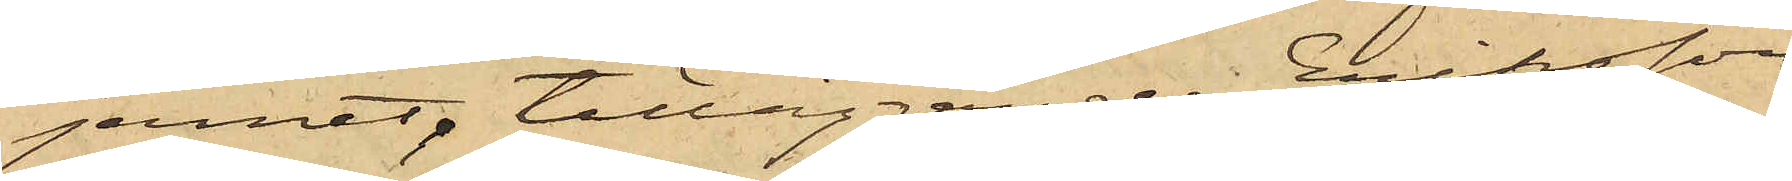jernet, tilläggande Eriksson
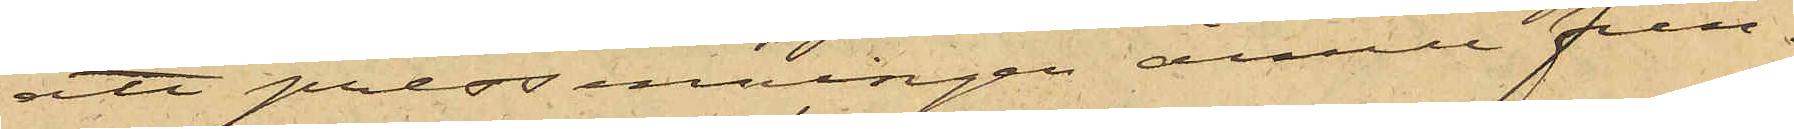att pressenningen ännu fin¬
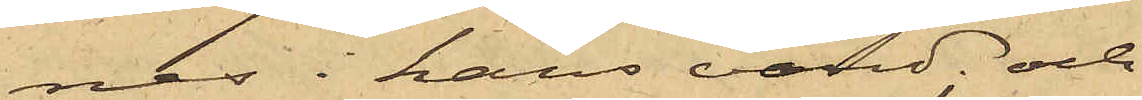nes i hans vård och
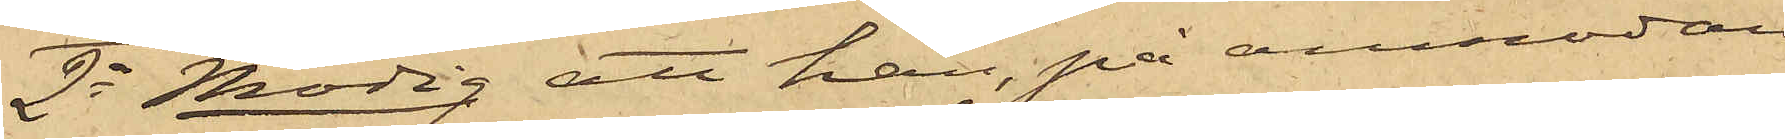2o Modig att han, på anmodan
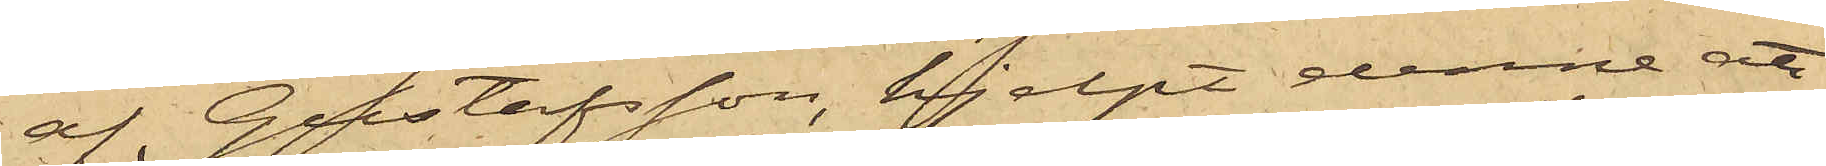af Gustafsson, hjelpt denne att
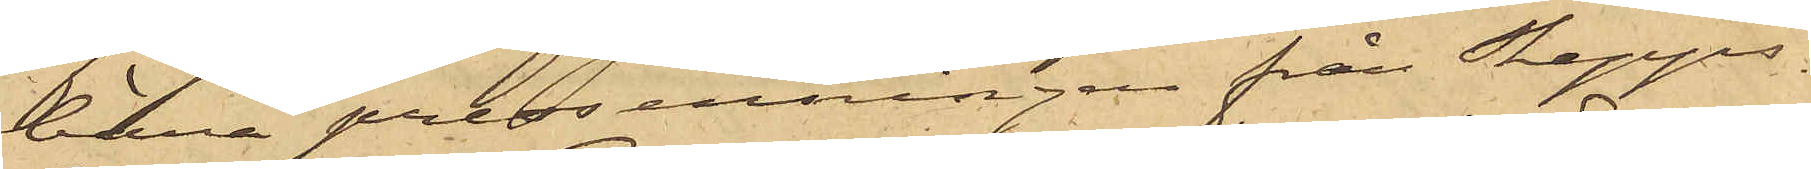bära pressenningen från Skepps¬
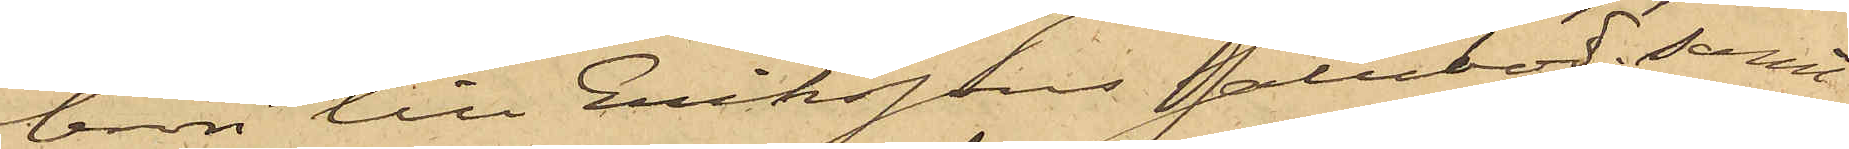bron till Erikssons Salubod; samt
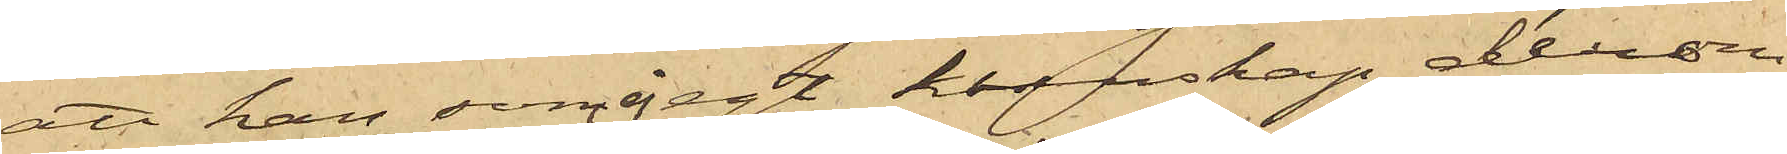att han, som ej egt kunskap derom
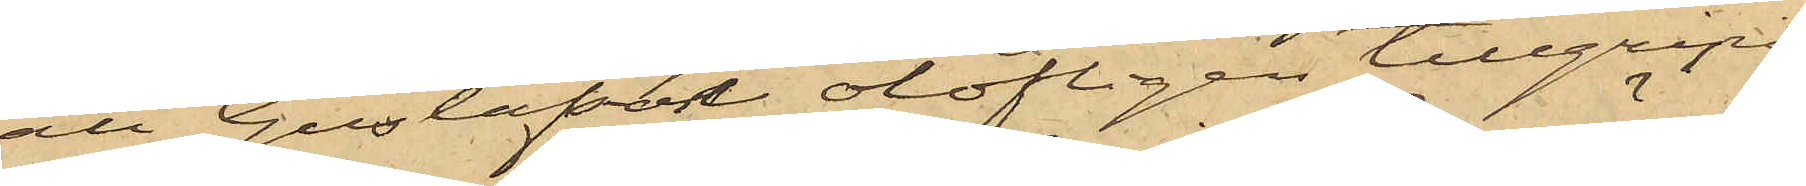att Gustafsson olofligen tillgripit
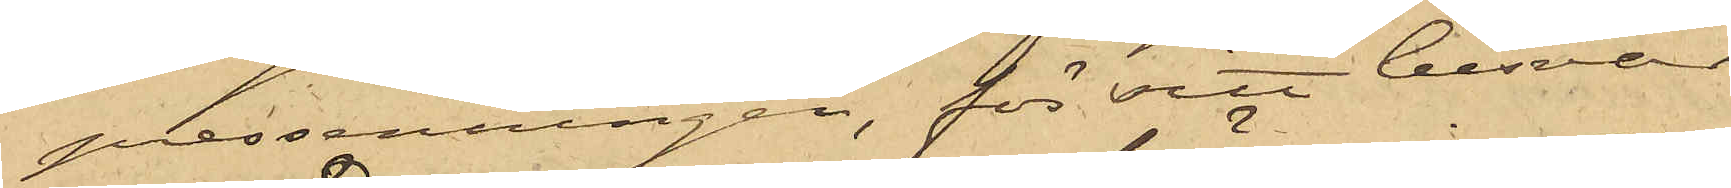pressenningen, för sitt besvär
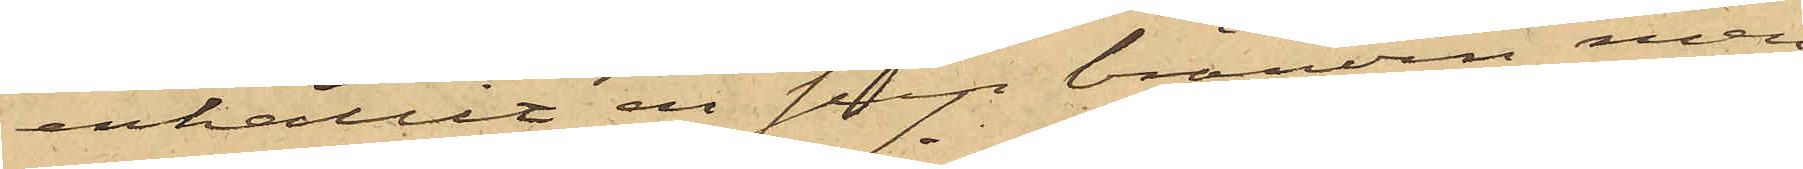erhållit en sup bränvin, men
